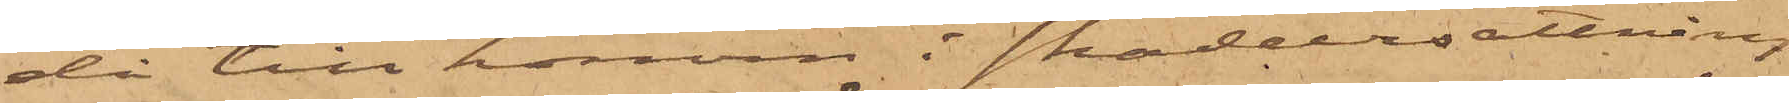då till honom i skadeersättning
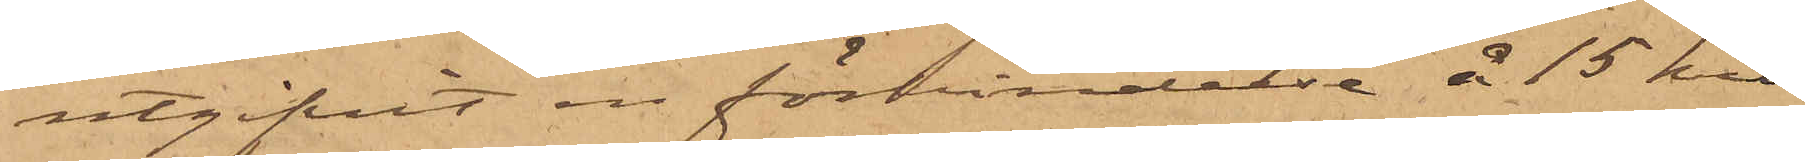utgifvit en förbindelse å 15 kro¬
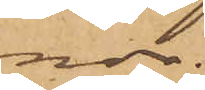nor.
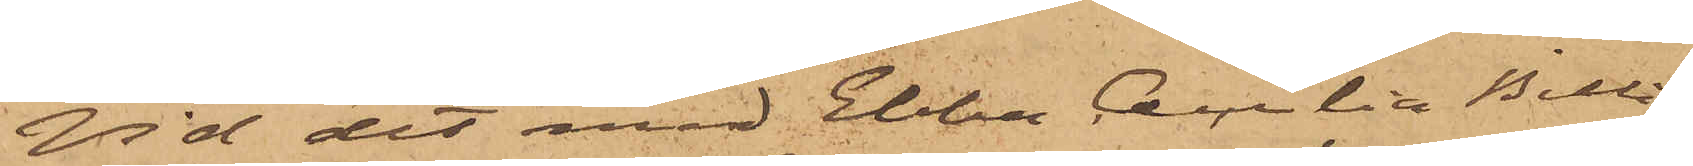Vid det med Ebba Cecilia Billing
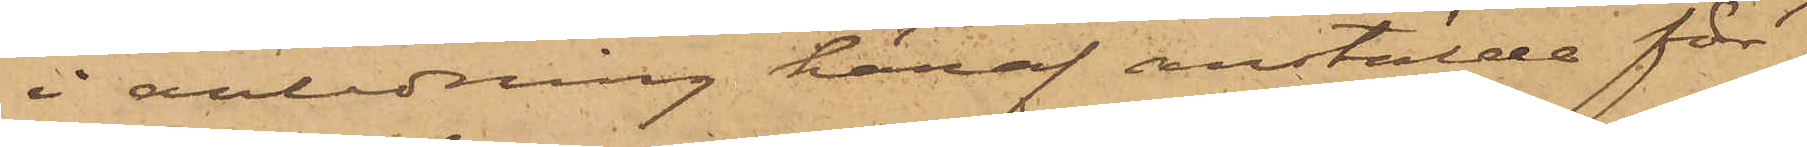i anledning häraf anstälde för¬
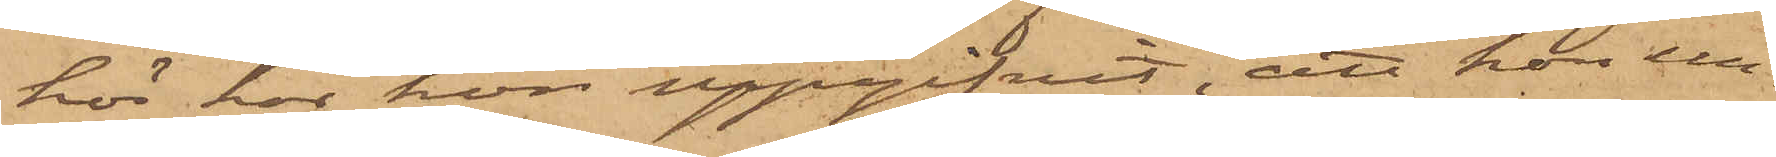hör har hon uppgifvit, att hon un¬
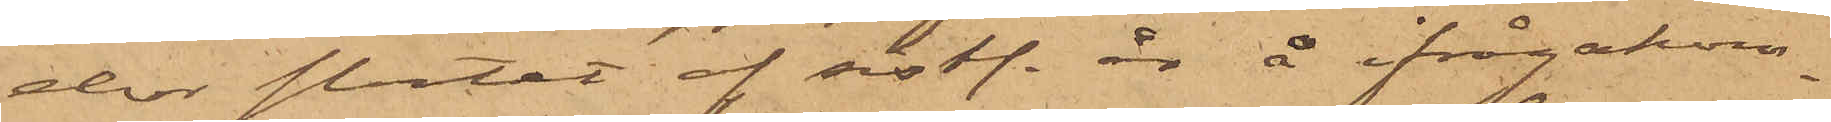der slutet af sistl. år å ifrågakom¬
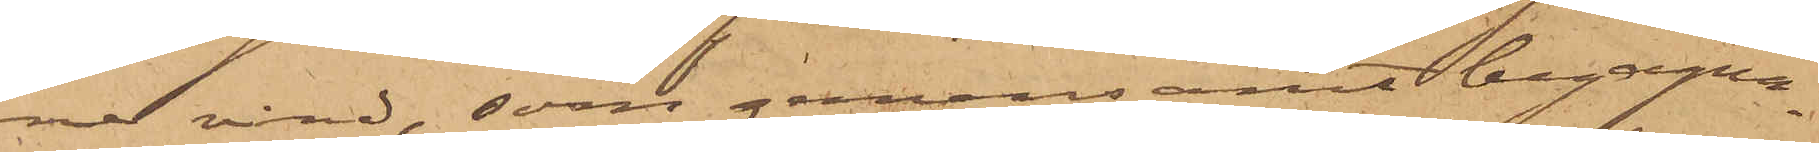ne vind, som gemensamt begagna¬
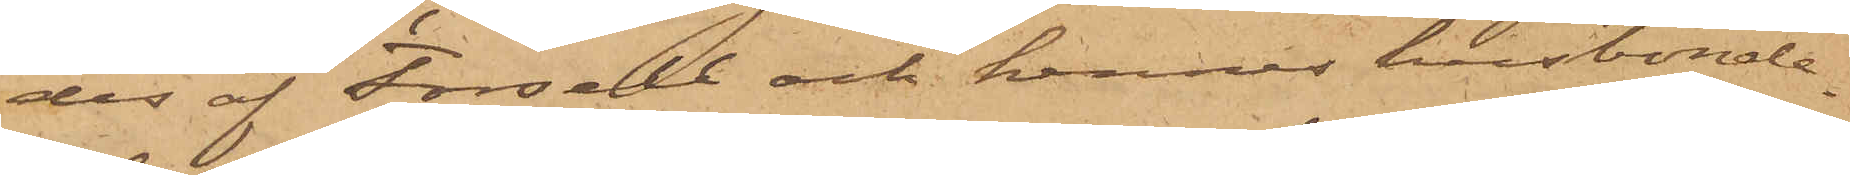des af Forsell och hennes husbonde¬
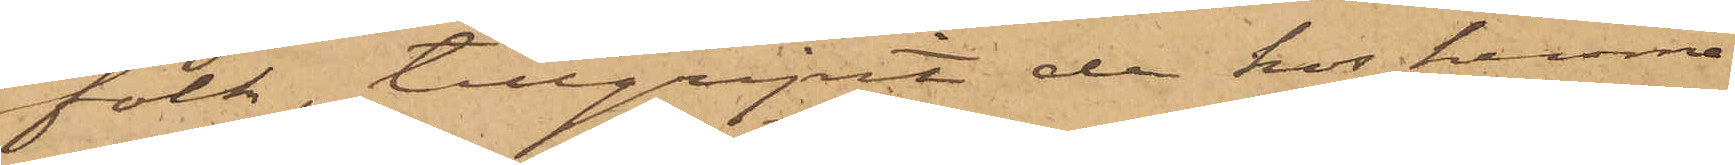folk, tillgripit de hos henne
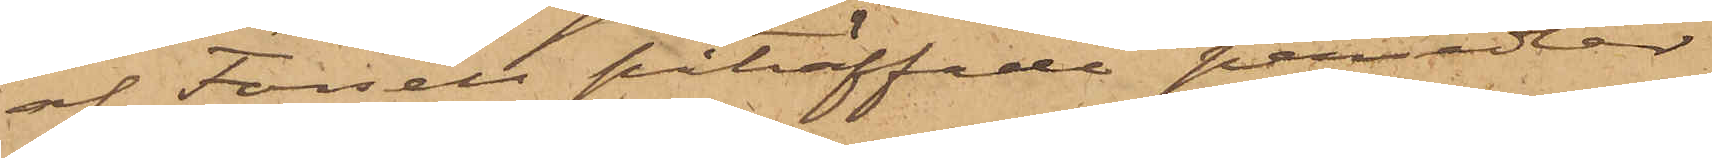af Forsell påträffade persedlar
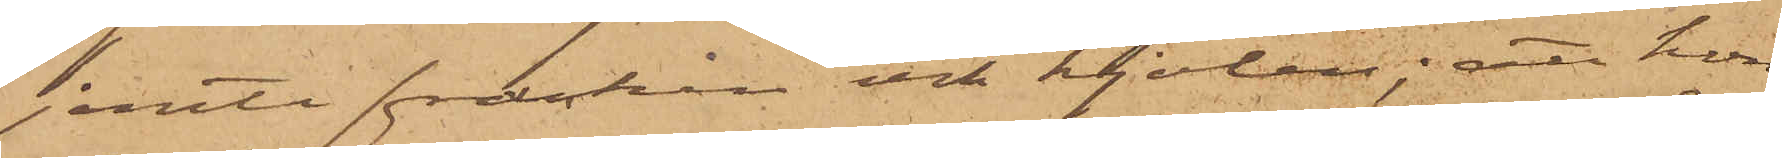jemte fracken och kjolen; att hon
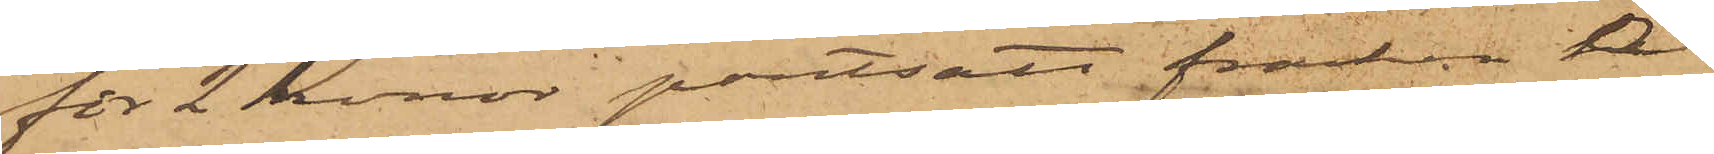för 2 Kronor pantsatt fracken å
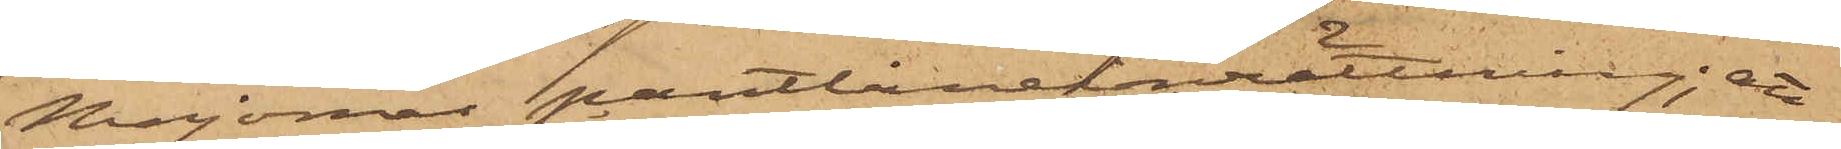Majornas pantlåneinrättning; att
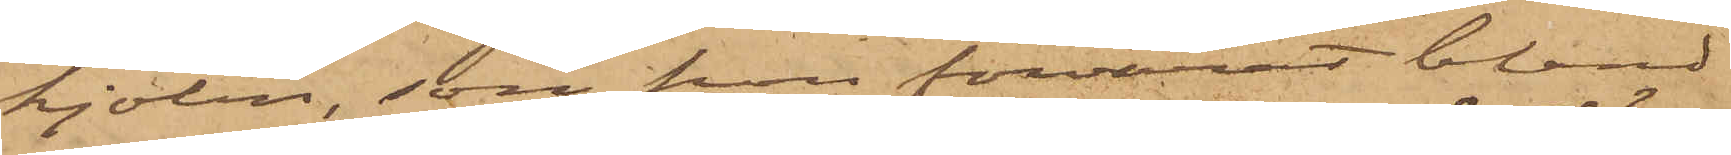kjolen, som hon förvarat bland
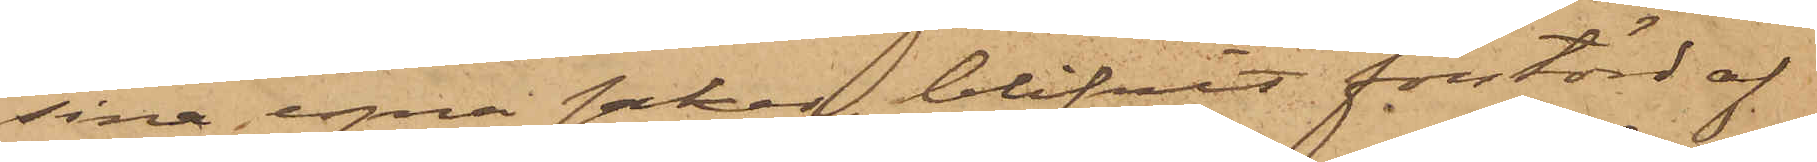sina egna saker, blifvit förstörd af
